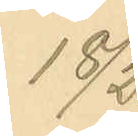18/2
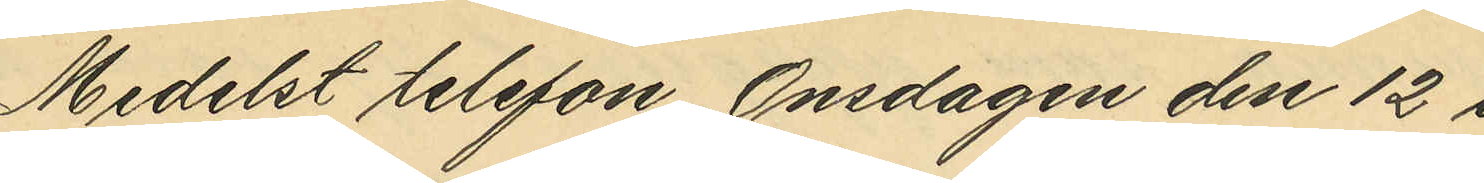Medelst telefon Onsdagen den 12 i
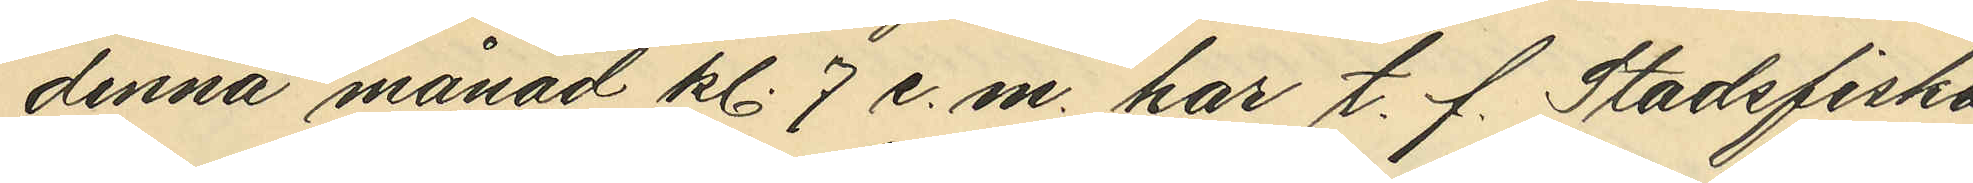denna månad kl. 7 e. m. har t. f. Stadsfiska¬
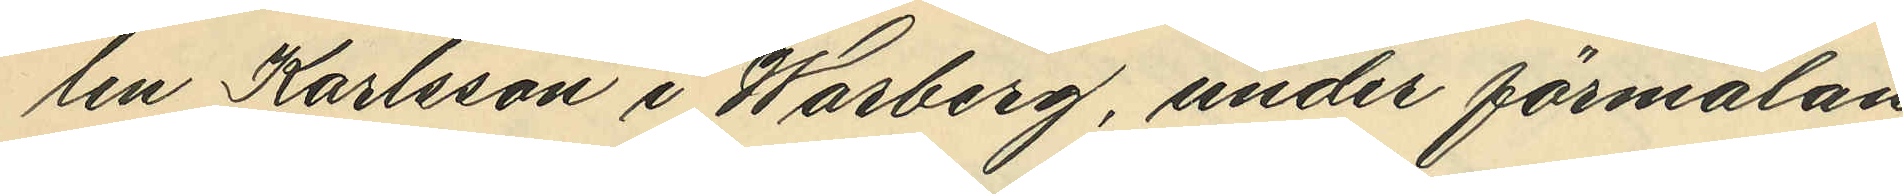len Karlsson i Warberg, under förmälan
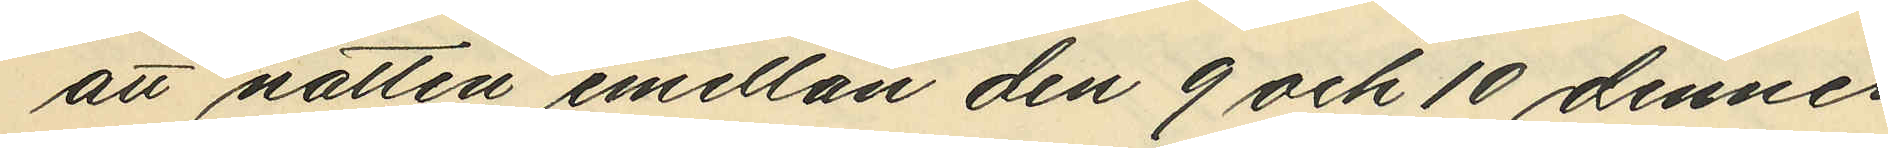att natten emellan den 9 och 10 dennes
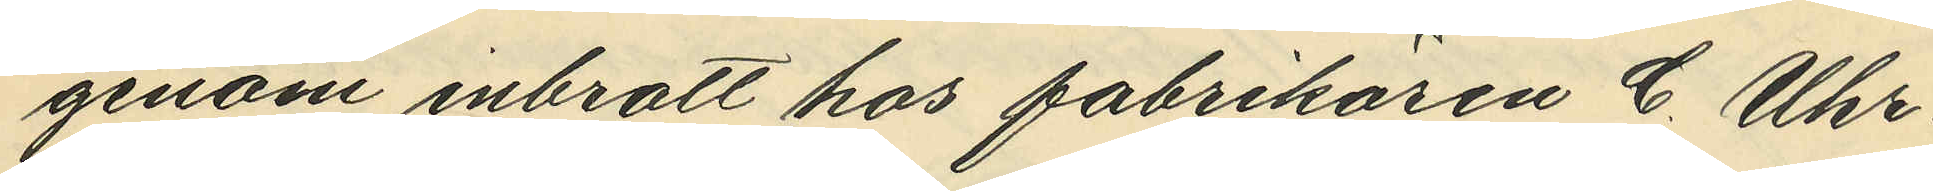genom inbrott hos fabrikören C. Uhr¬
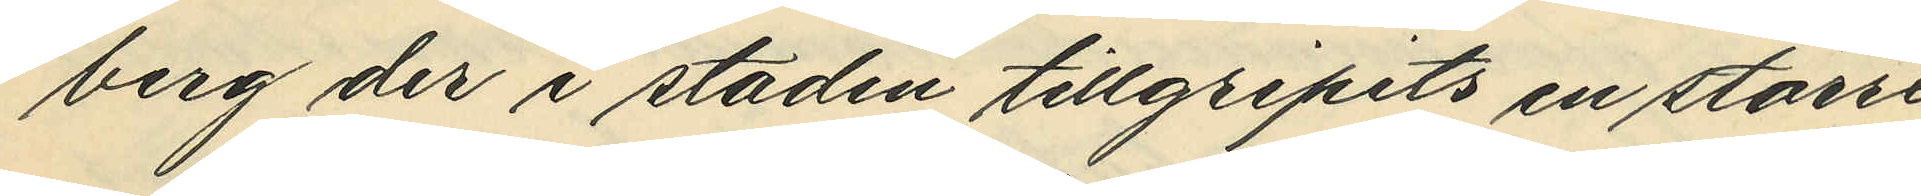berg der i staden tillgripits en större
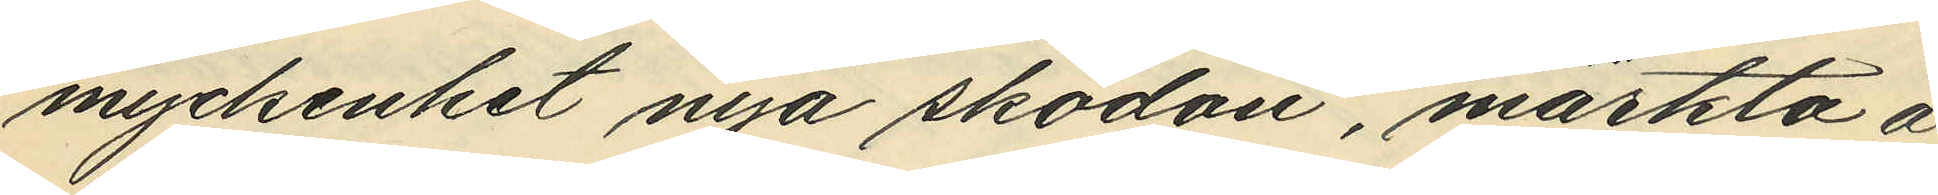myckenhet nya skodon, märkta å
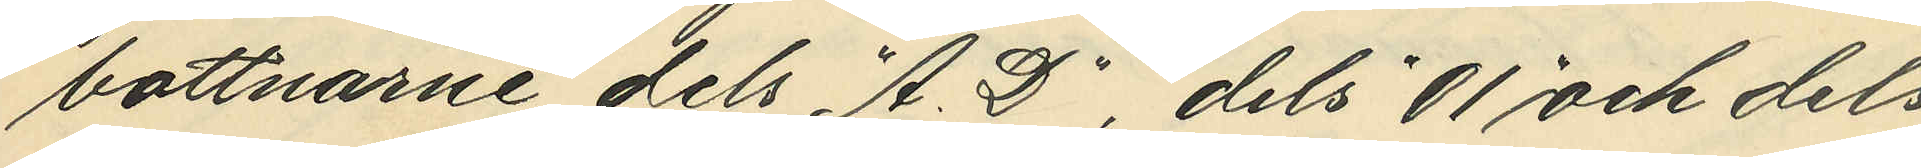bottnarne dels "A.D", dels "01" och dels
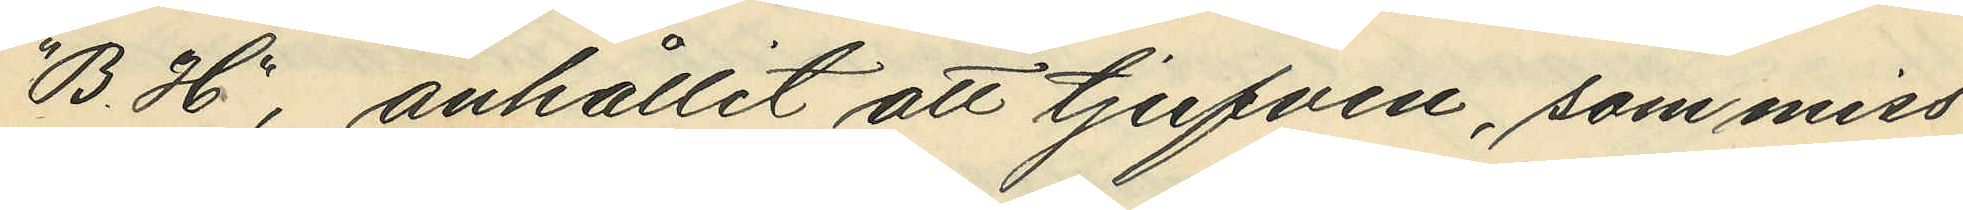"B.H", anhållit att tjufven, saom miss¬
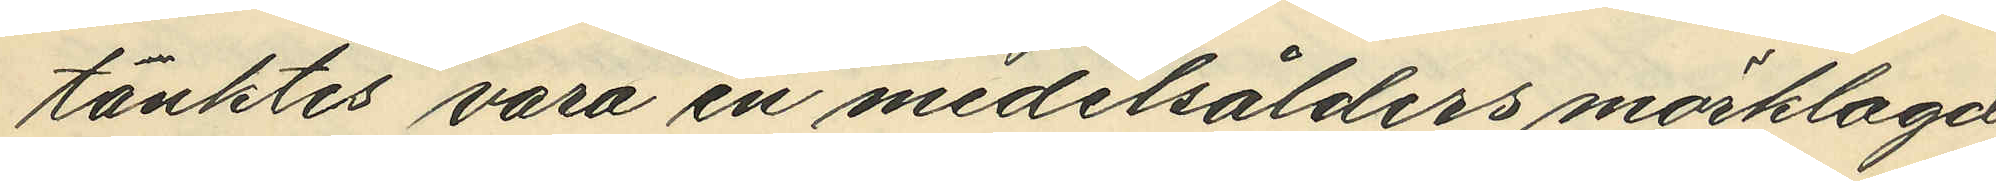tänktes vara en medelålders mörklagd
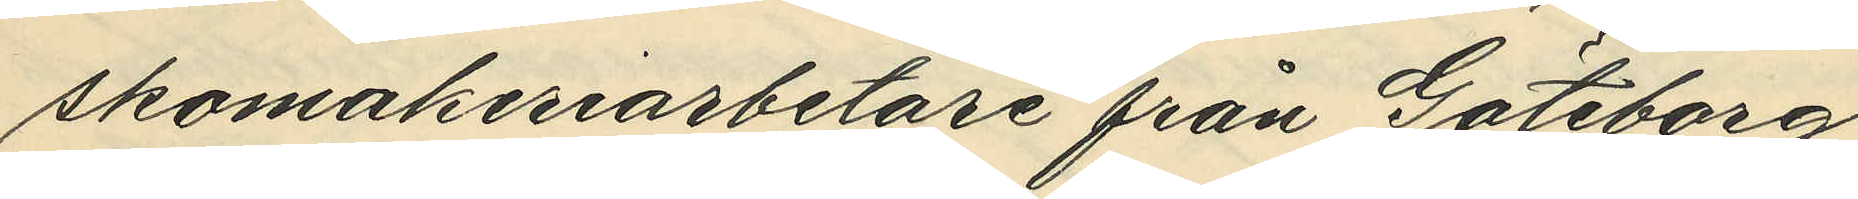skomakeriarbetare från Göteborg
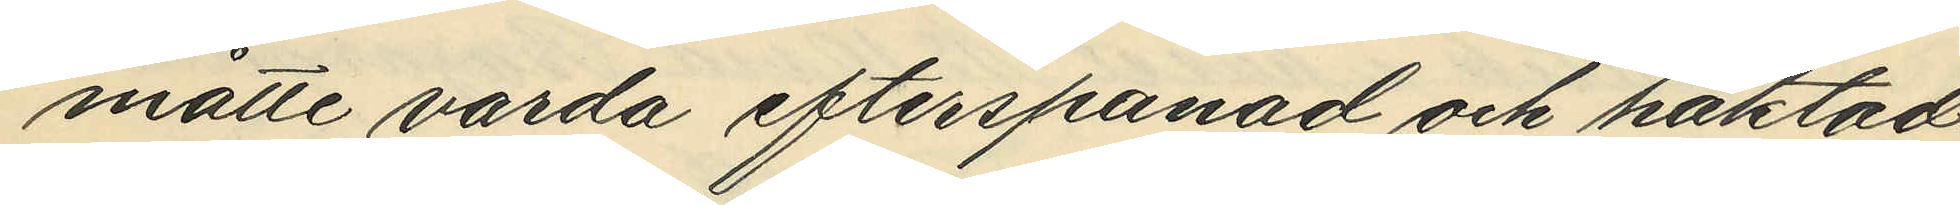måtte vara varda efterspanad och häktad.
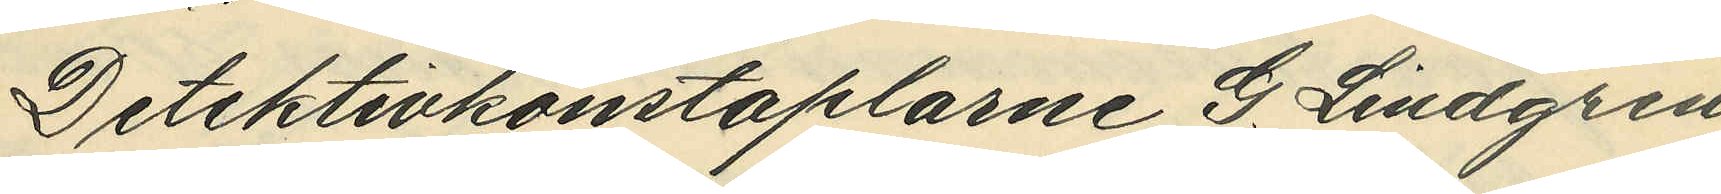Detektivkonstaplarne G. Lindgren
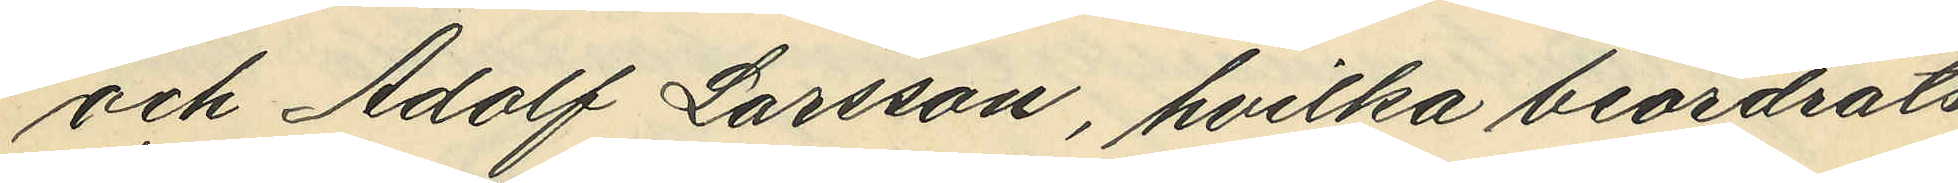och Adolf Larsson, hvilka beordrats
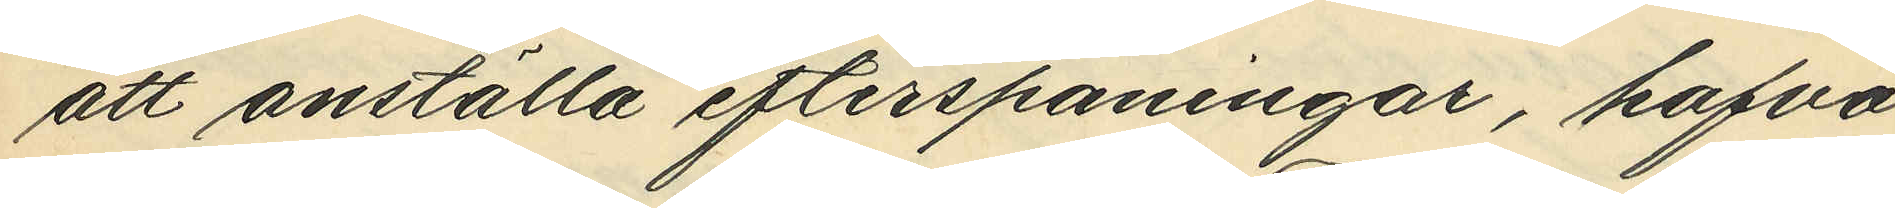att anställa efterspaningar, hafva
